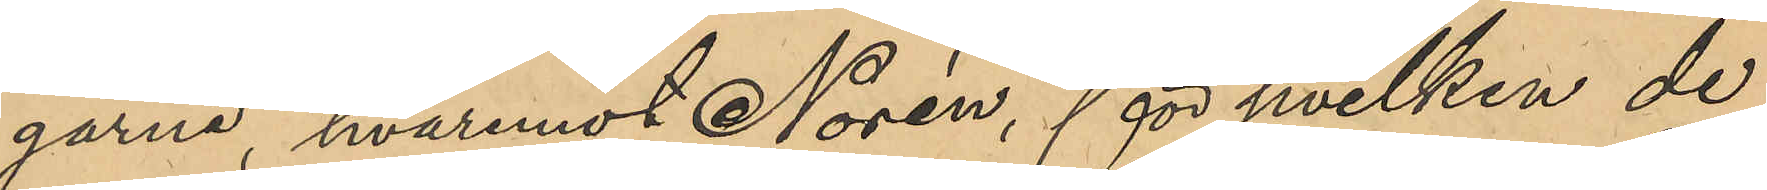garne, hvaremot Norén, för hvilken de
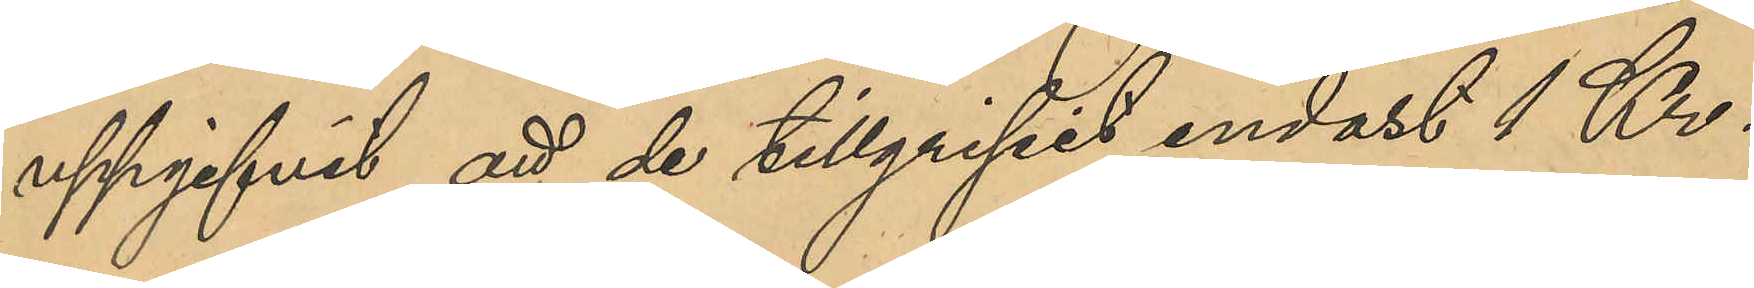uppgifvit att de tillgripit endast 1 Kr.
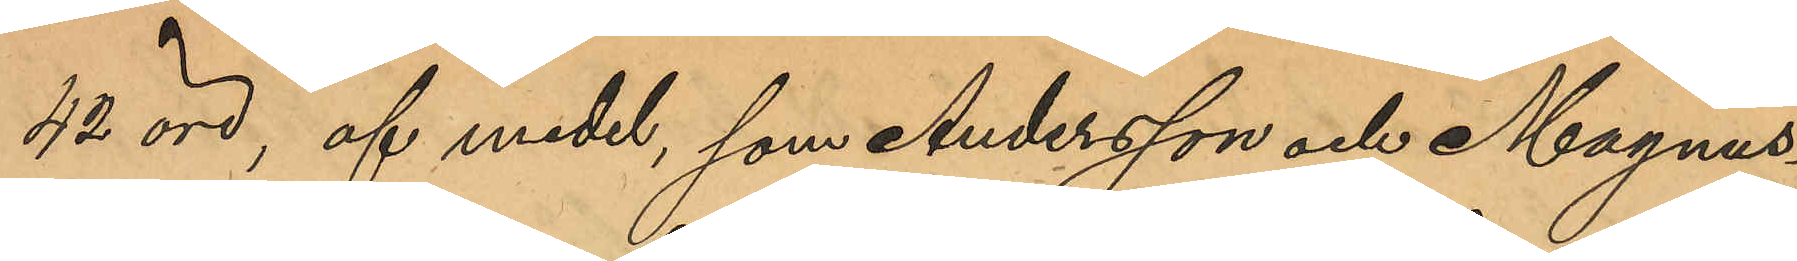42 öre, af medel, som Andersson och Magnus¬
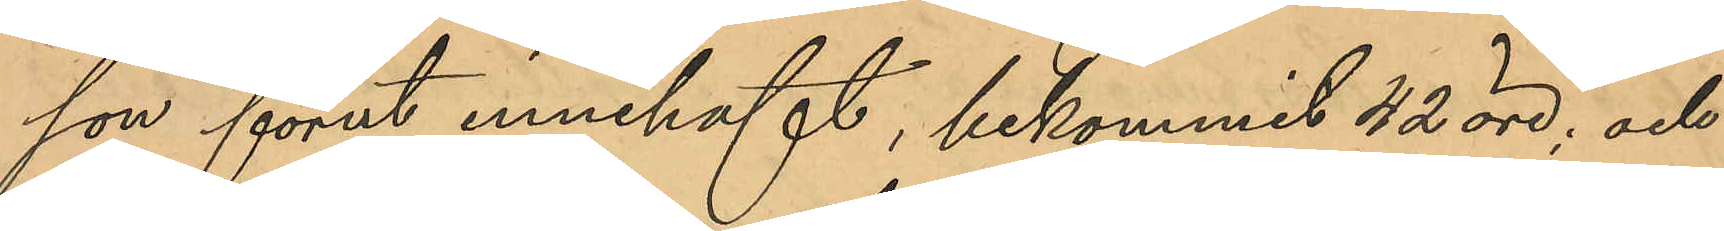son förut innehaft, bekommit 42 öre; och
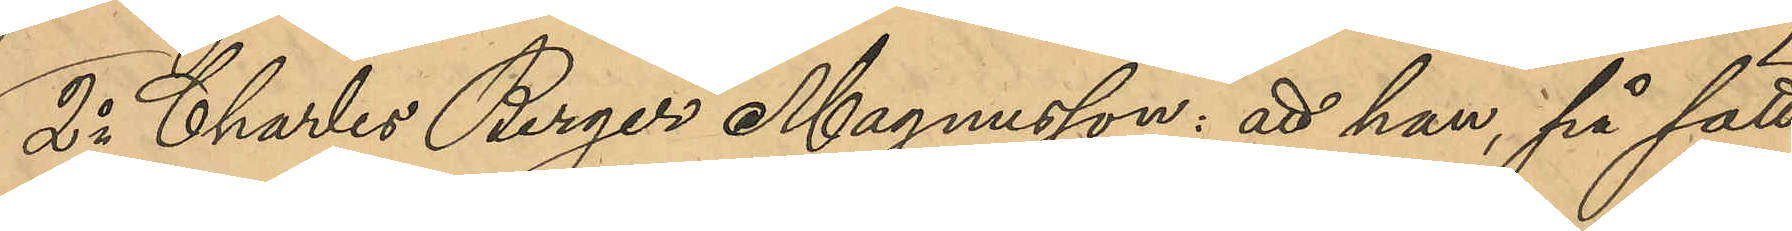2o Charles Birger Magnusson: att han, på sätt
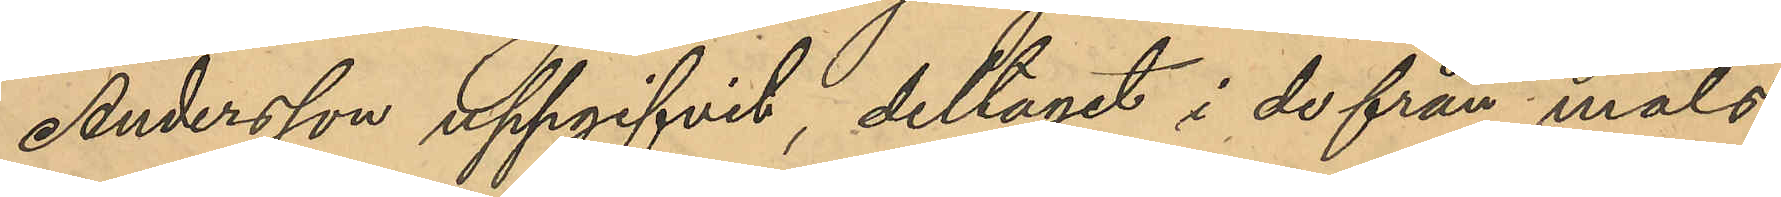Andersson uppgifvit, deltagit i de från måls¬
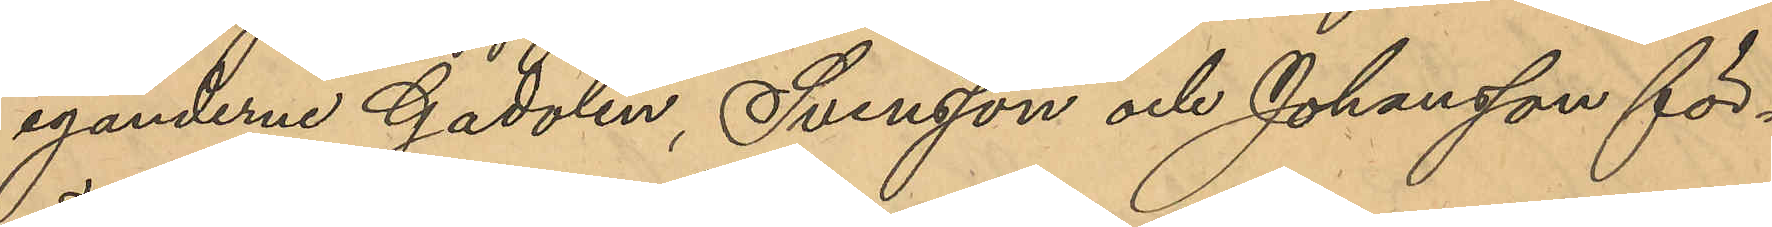eganderna Gadolin, Svensson och Johansson för¬
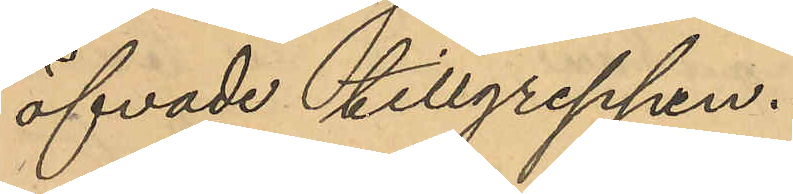öfvade tillgreppen.
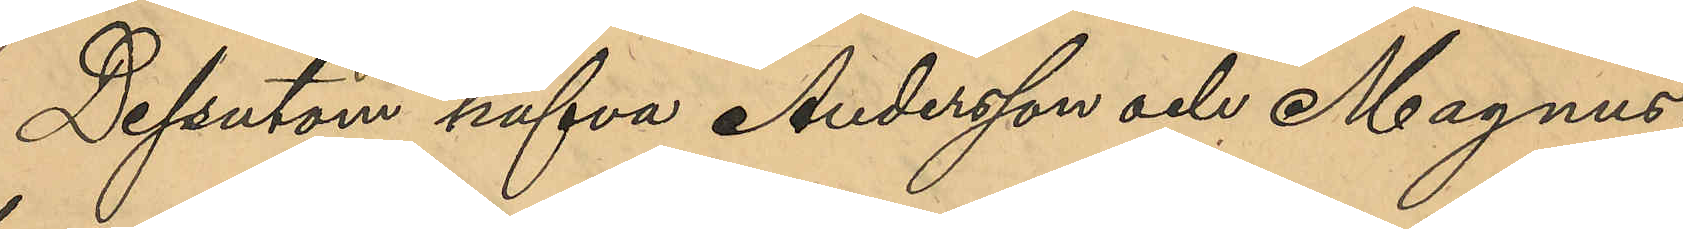Dessutom hafva Andersson och Magnus¬
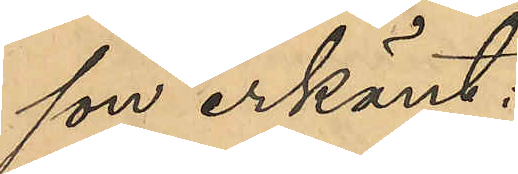son erkänt:
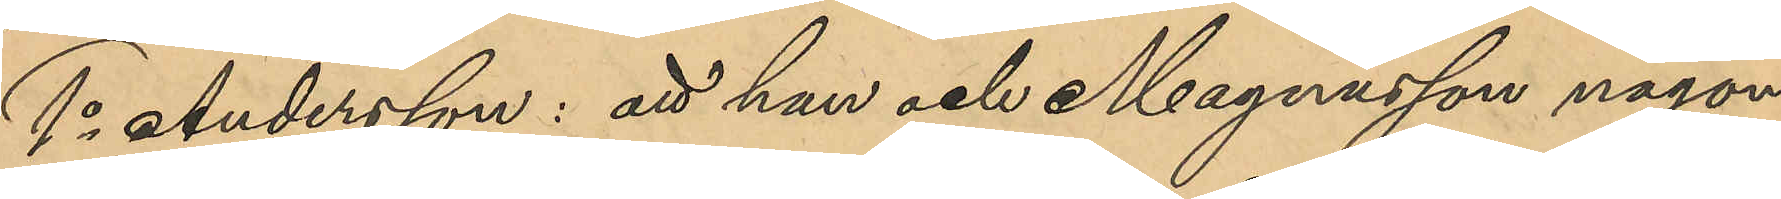1o Andersson: att han och Magnusson någon
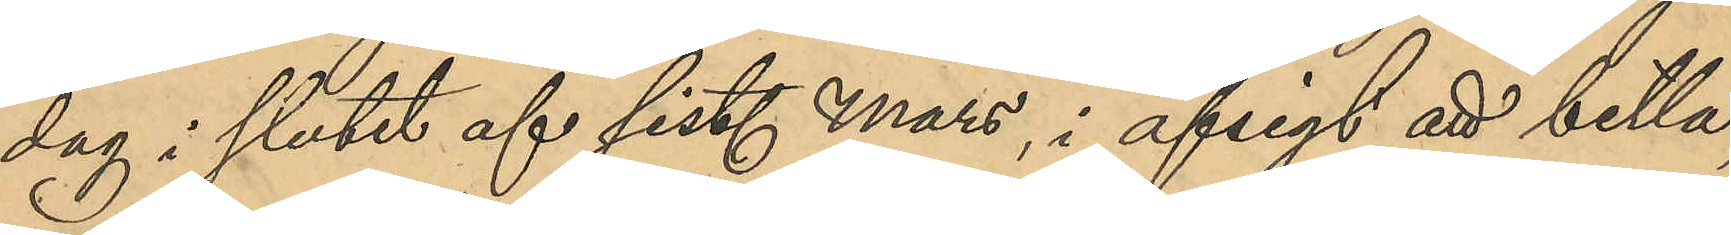dag i slutet af sist. Mars, i afsigt att bettla,
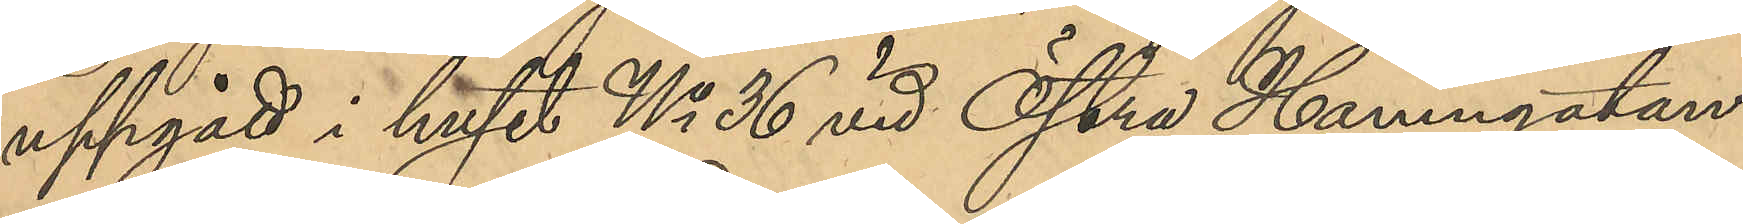uppgått i huset No 36 vid Östra Hamngatan:
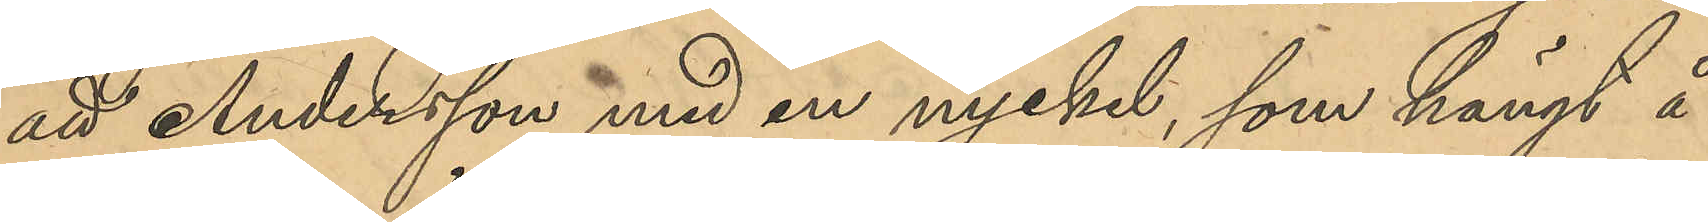att Andersson med en nyckel, som hängt å
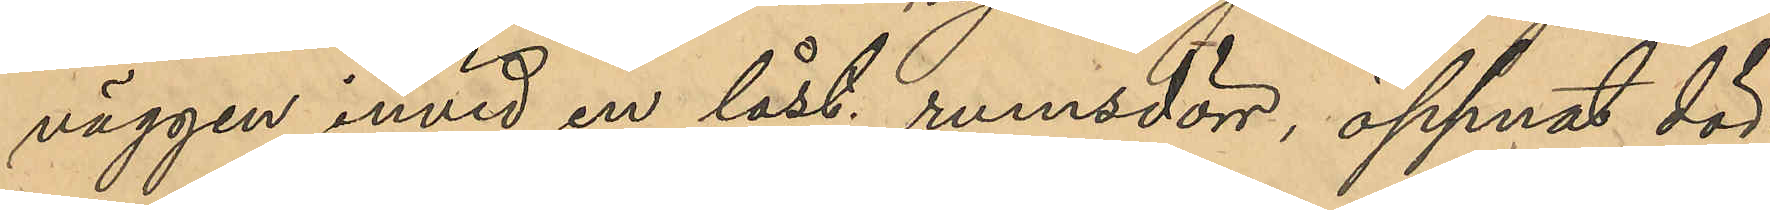väggen invid en låst rumsdörr, öppnat dör¬
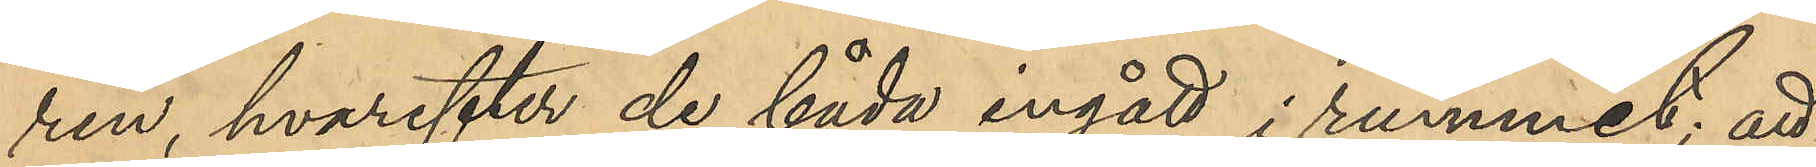ren, hvarefter de båda ingått i rummet; att
